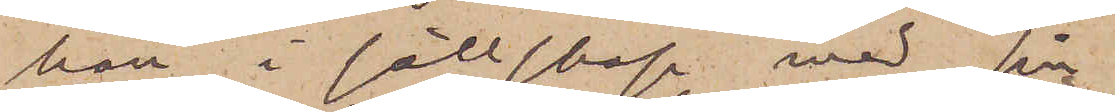han i sällskap med sin
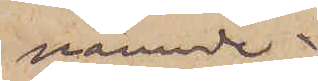nämnde
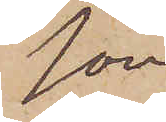son,
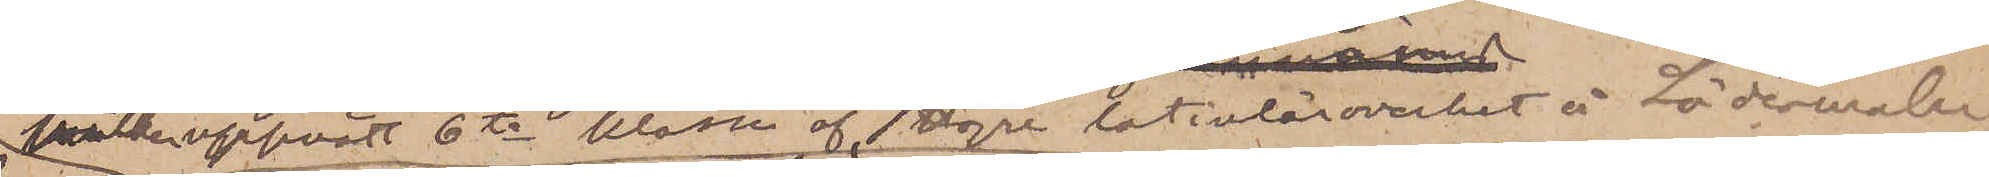hvilken uppnått 6te klassen af Högre Latinlärovoerket å Södermalm,
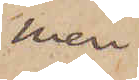men
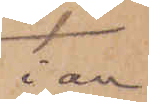i av¬
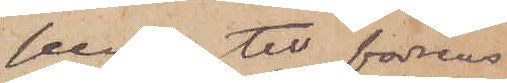seende till fadrens
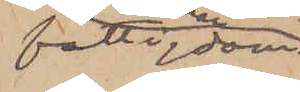fattigdom
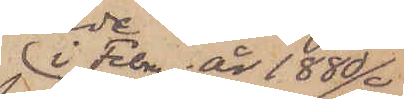i Februari år 1888
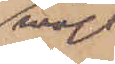måst
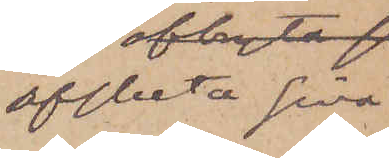afbryta sina
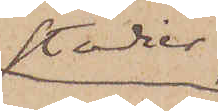studier,
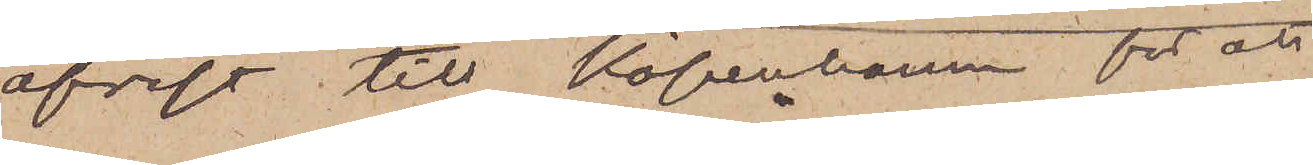afrest till Köpenhamn för att
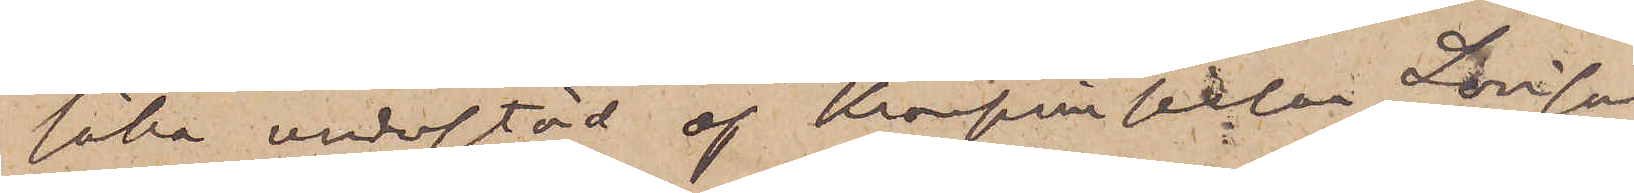söka understöd af kronprinsessan Lovisa,
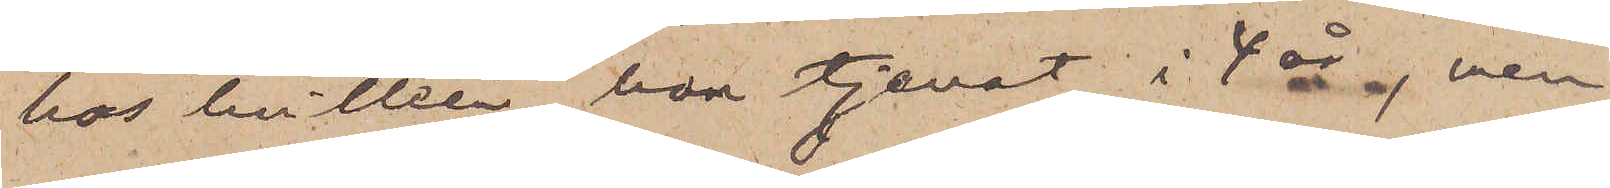hos hvilken han tjenat i 4 år, men
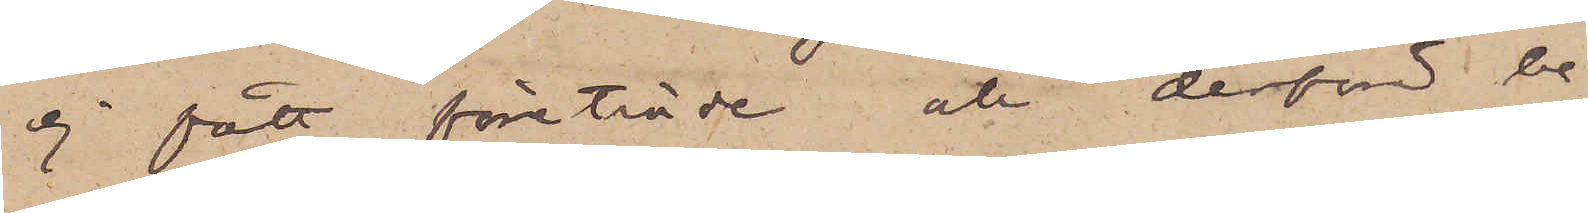ej fått företräde och derför be¬
